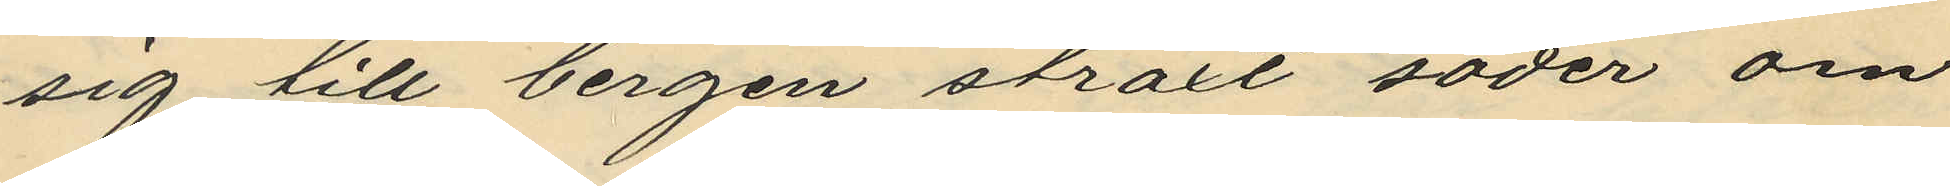sig till bergen straxt söder om
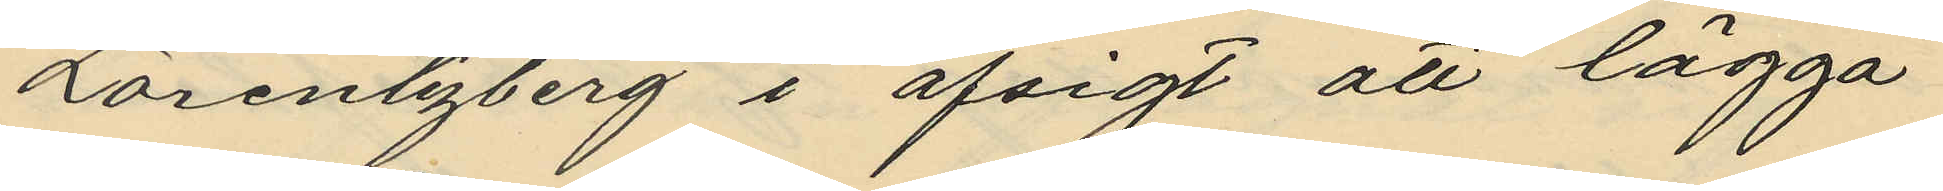Lorentzberg i afsigt att lägga
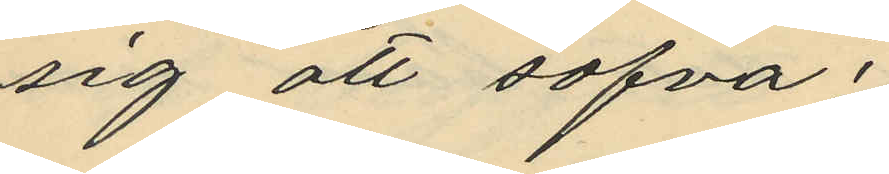sig att sofva;
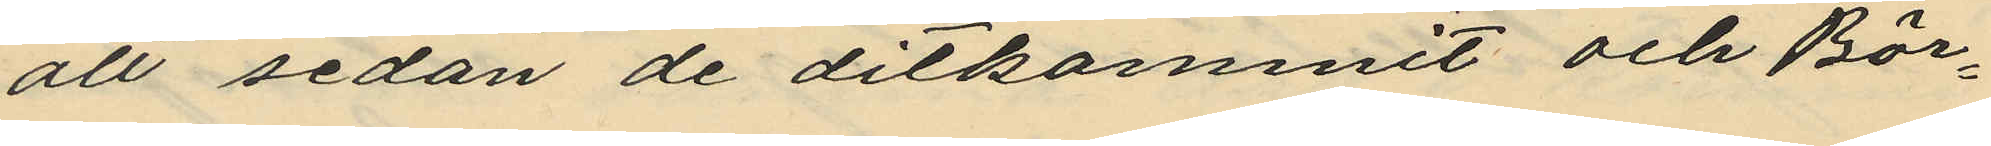att sedan de ditkommit och Bör¬
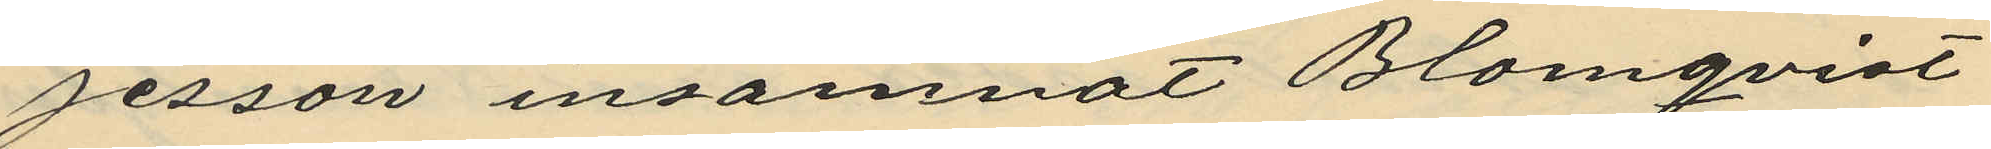jesson insamnat Blomqvist
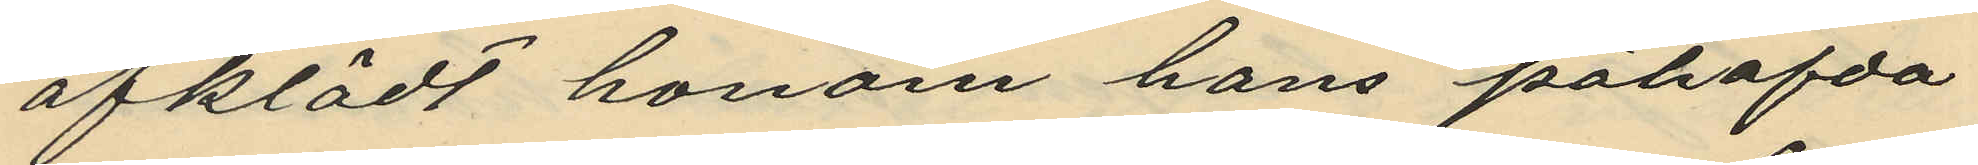afklädt honom hans påhafda
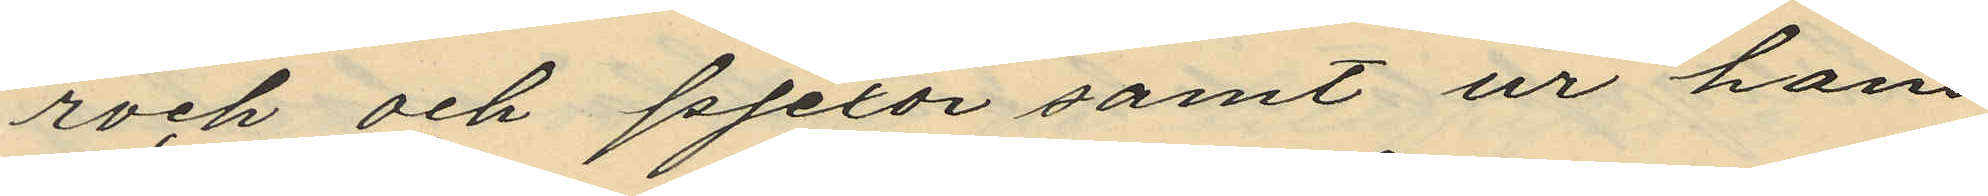rock och pjexor samt ur hans
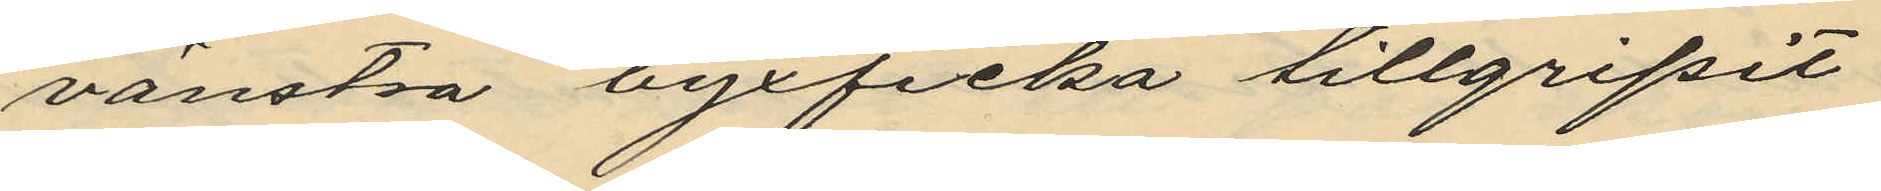vänstra byxficka tillgripit
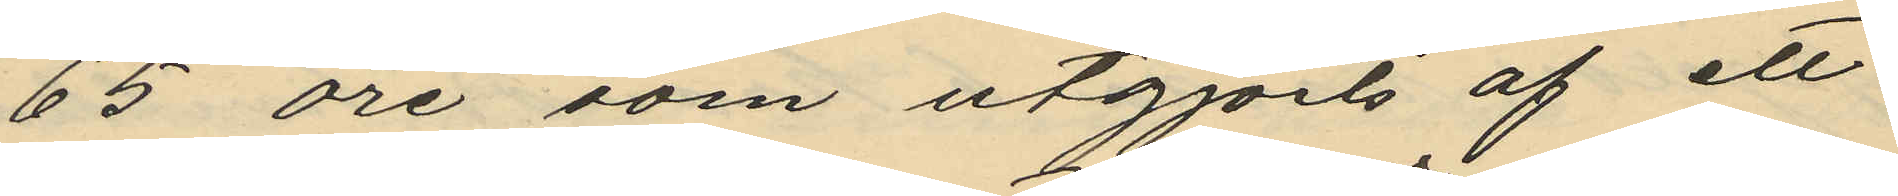65 öre som utgjorts af ett
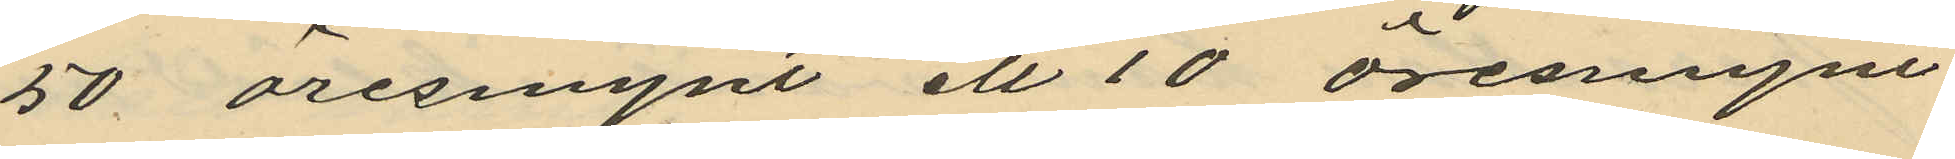50 öresmynt ett 10 öremmynt
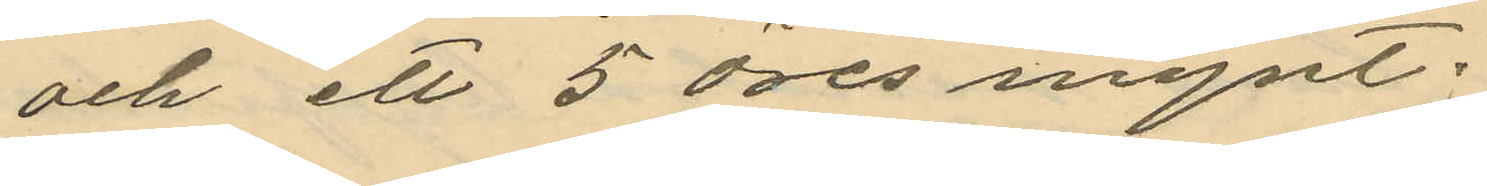och ett 5 öres mynt.
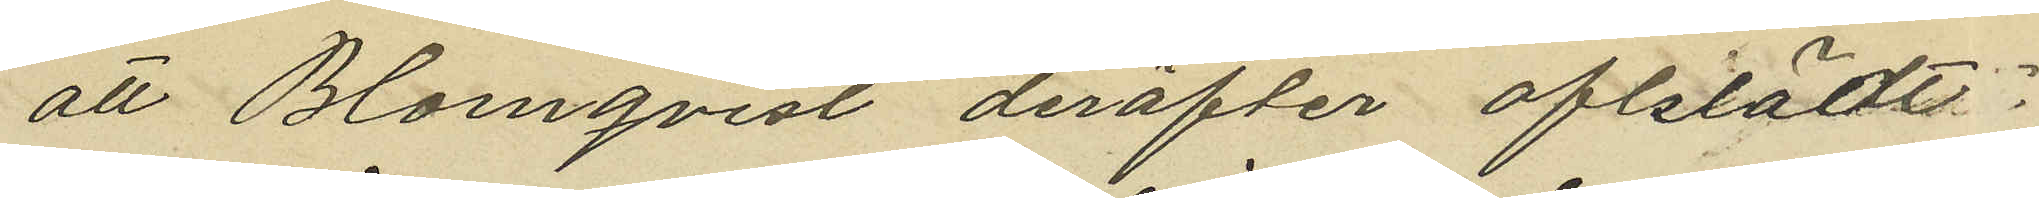att Blomqvist derefter afklädt
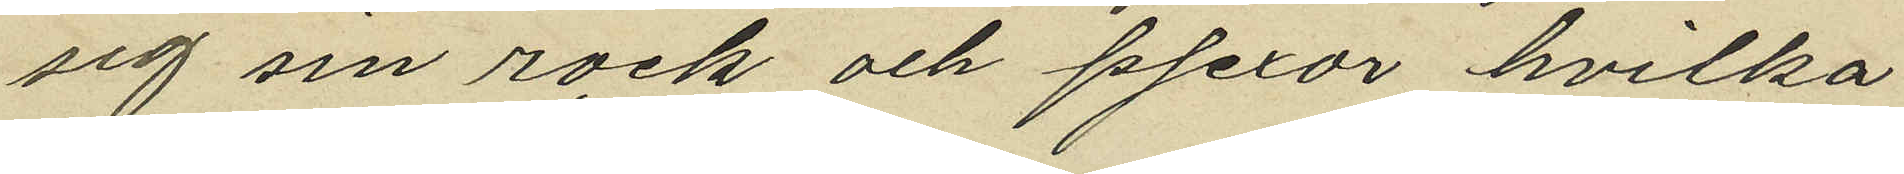sig sin rock och pjexor hvilka
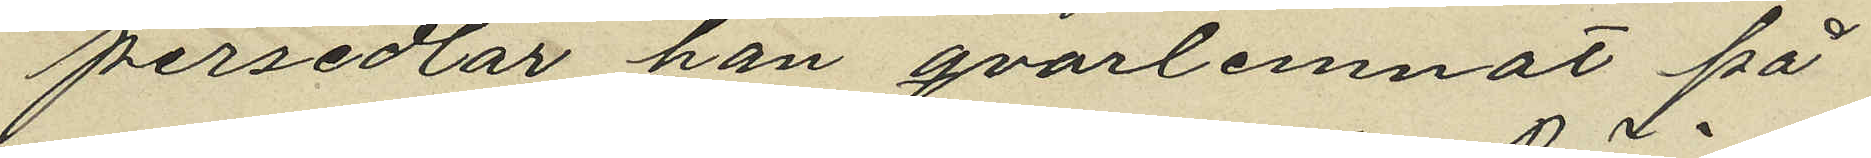persedlar han qvarlemnat på
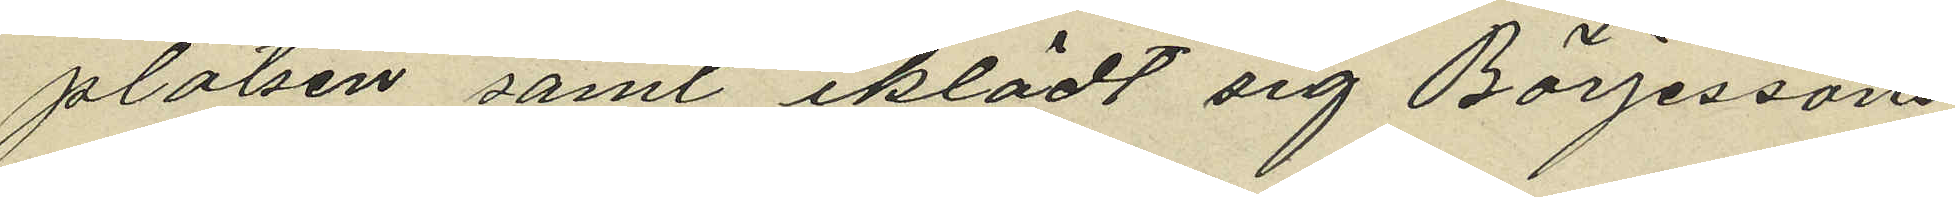platsen samt iklädt sig Börjessons
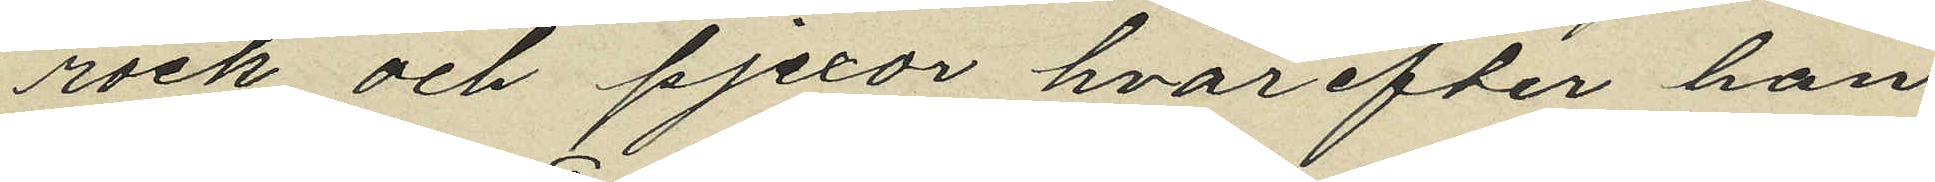rock och pjexor hvarefter han
